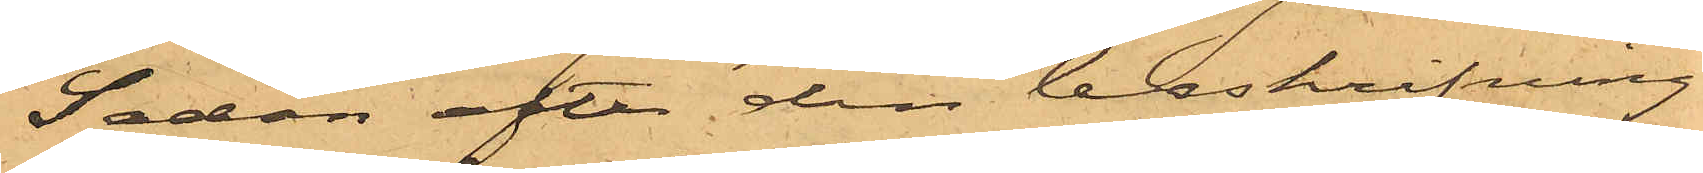Sedan efter den beskrifning
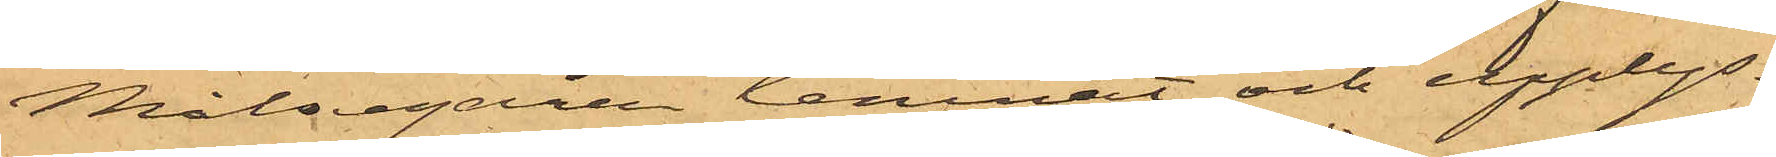Målsegaren lemnat och upplys¬
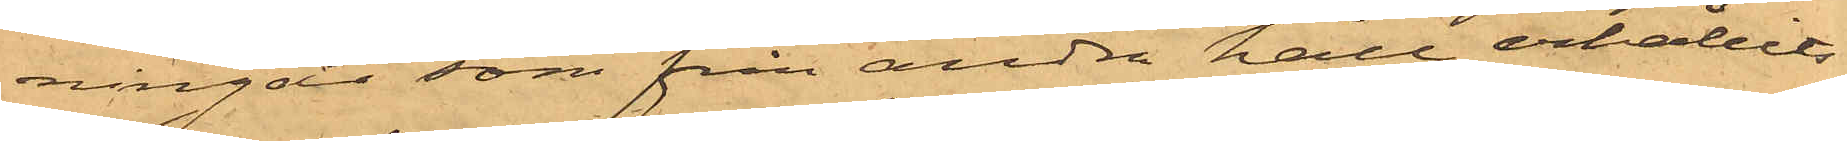ningar som från andra håll erhållits
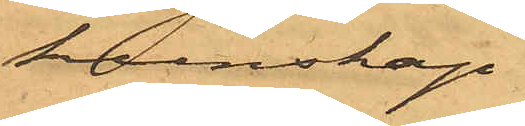kunskap
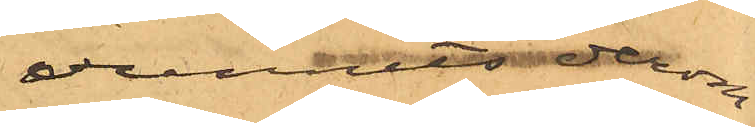vunnits derom
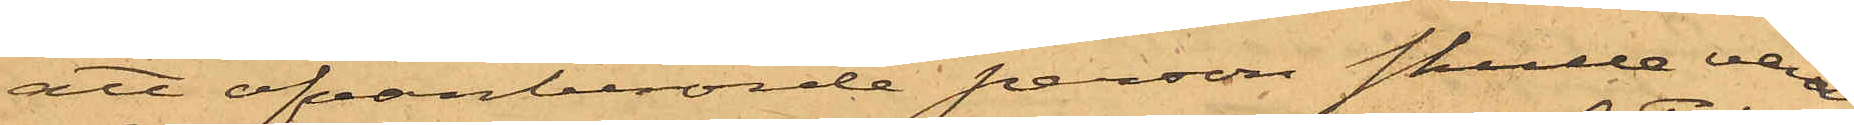att ofvanberörde person skulle vara
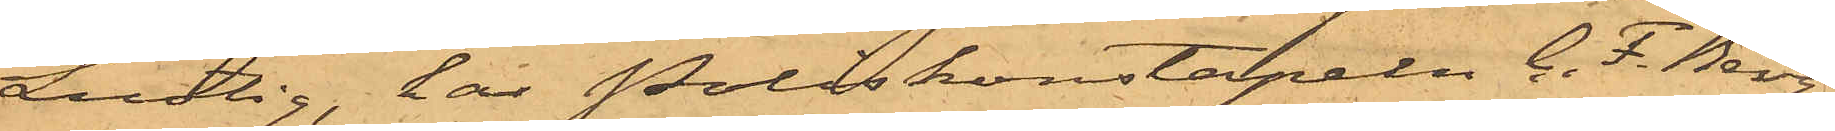Lustig, har Poliskonstapeln C. F. Berg¬
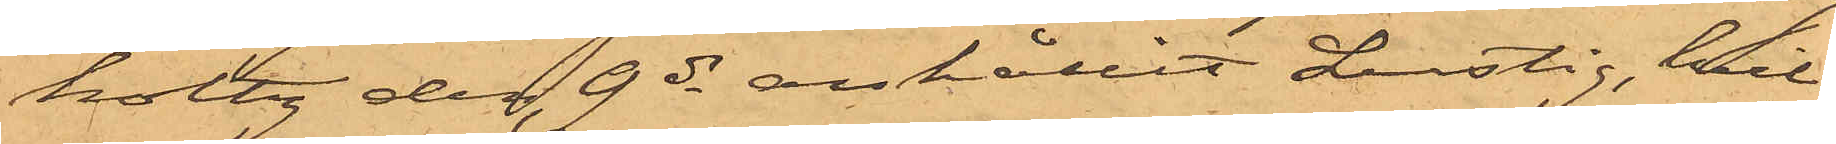holtz den 9 ds anhållit Lustig, hvil¬
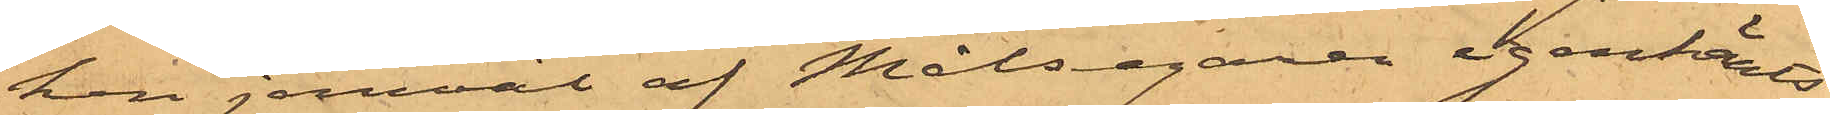hon jemväl af Målsegaren igenkänts
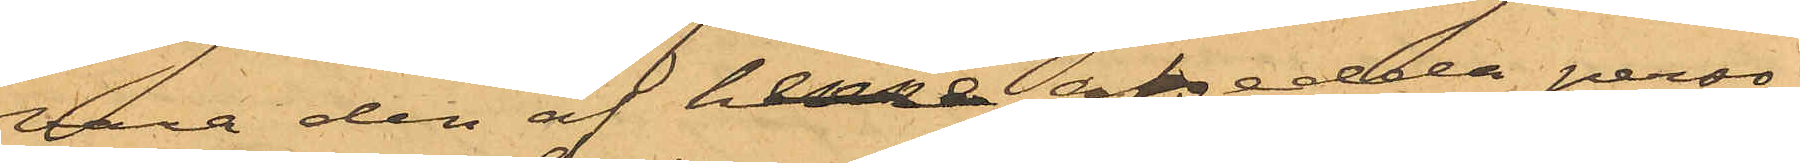vara den af henne afsedda perso¬
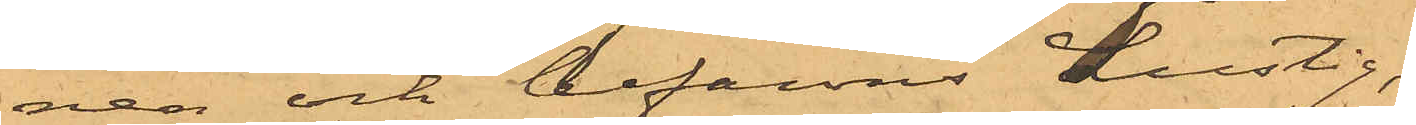nen och befanns Lustig,
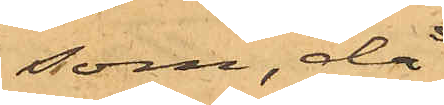som, då
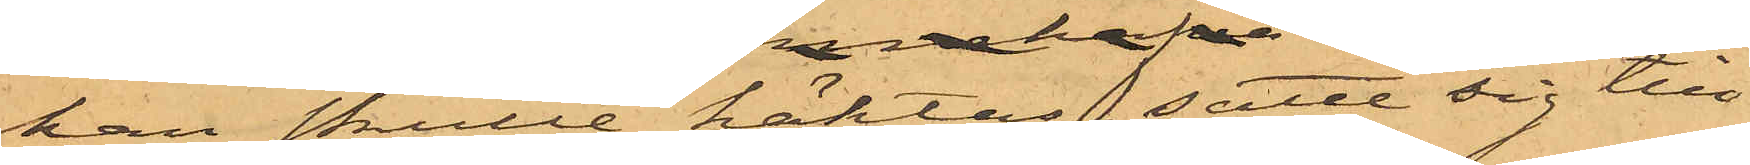han skulle häktas, satte sig till
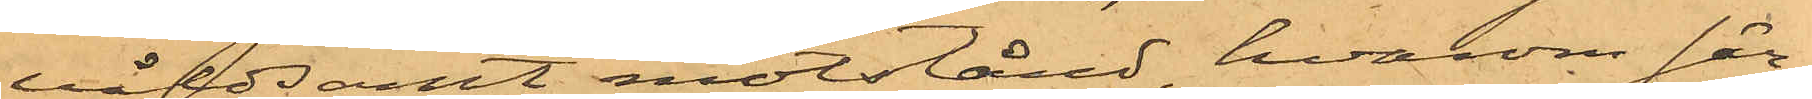våldsamt motstånd, hvarom sär¬
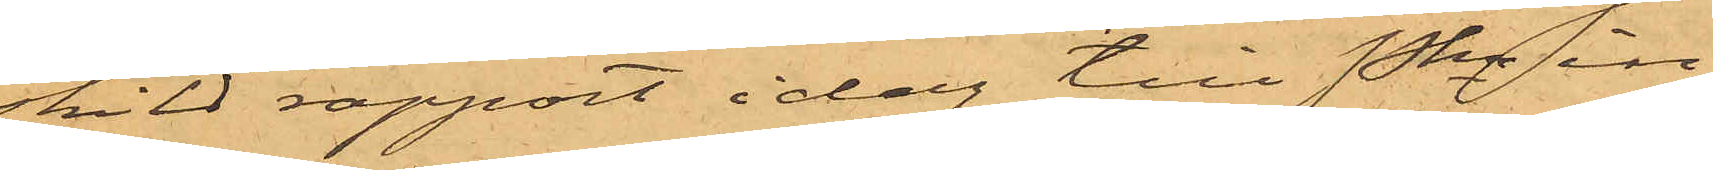skild rapport i dag till Pkn in¬
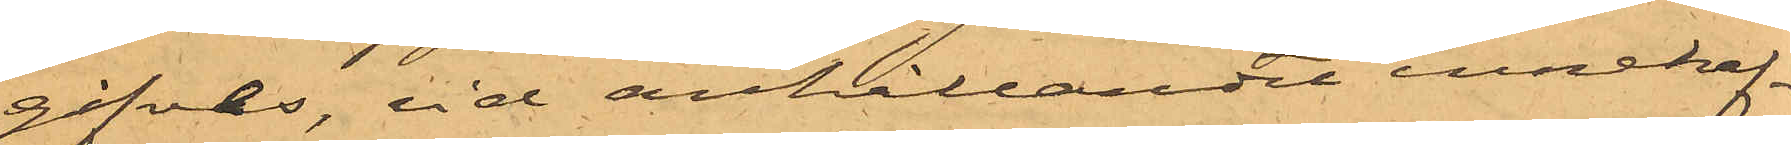gifves, vid anhållandet innehaf¬
